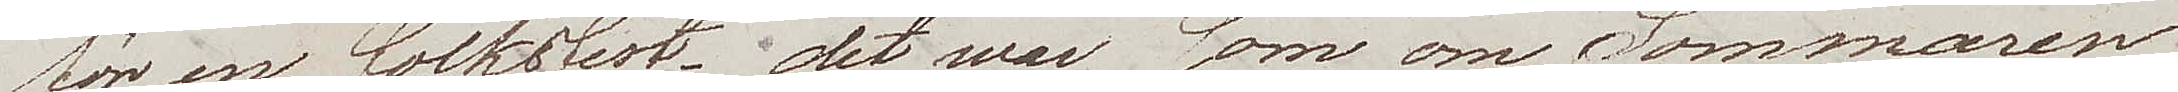för  en folkfest – det war som om Sommaren
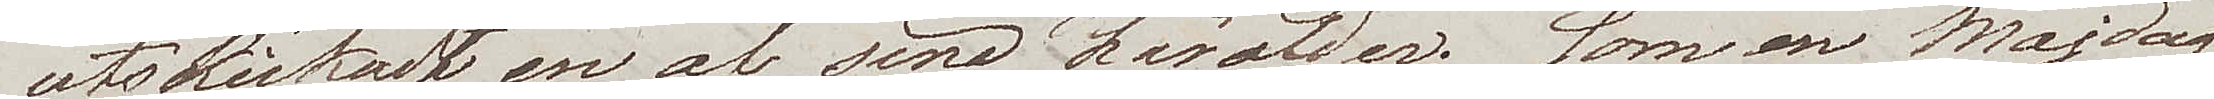utskickadt en af sina härolder; som en Majdag
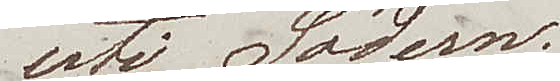uti Södern.
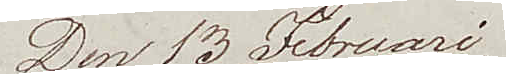Den 13 Februari.
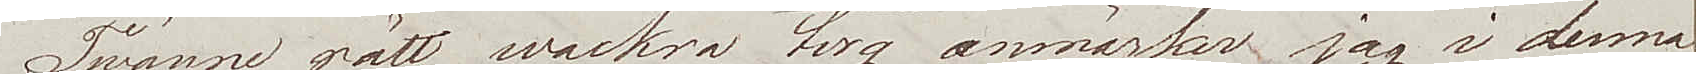Twänne rätt wackra torg anmärker jag i denna
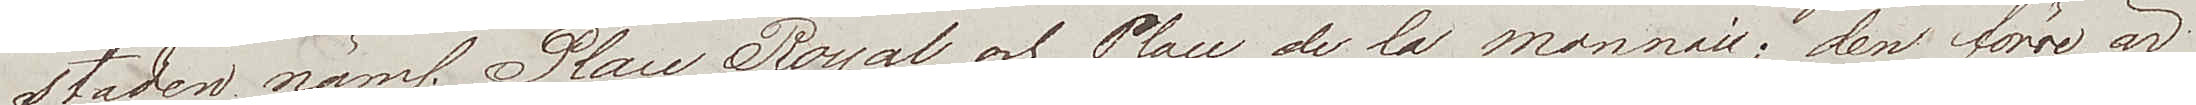staden näml. Place Royal och Place de la Monnaie; den förre är
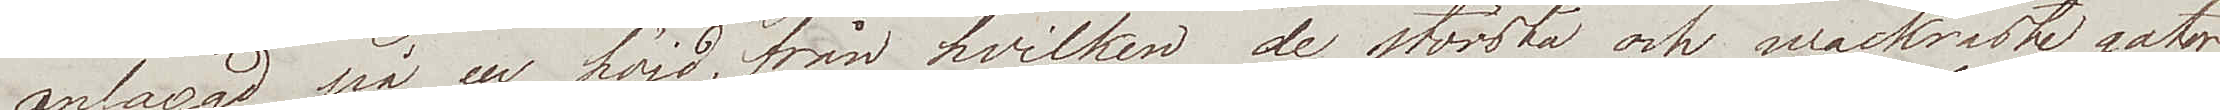anlaggd på en höjd, från hvilken de största och wackraste gator
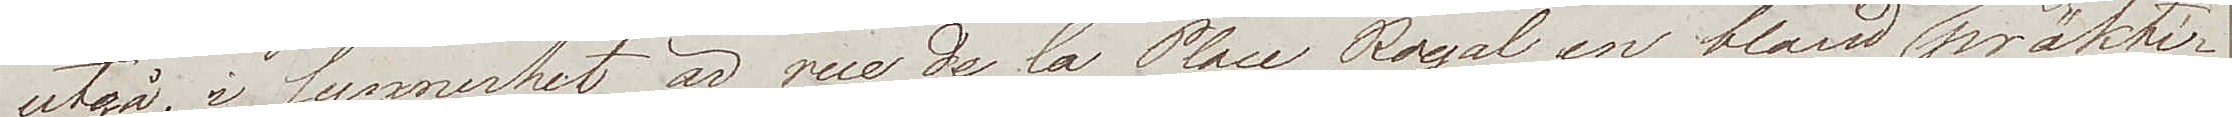utgå; i synnerhet är rue de la Place Royal en bland de präkti¬
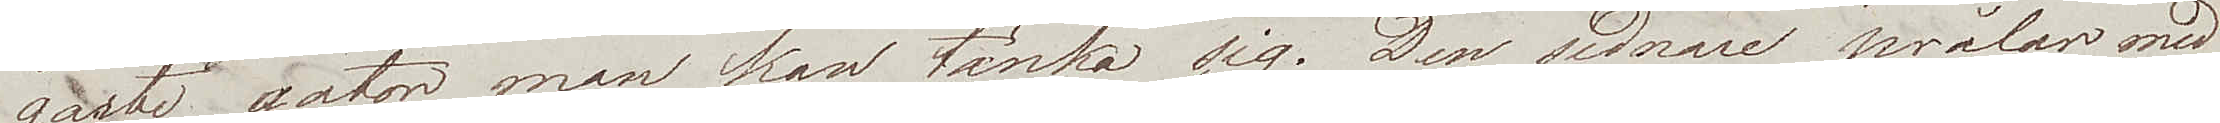gaste gator man kan tänka sig. Den sednare prålar med
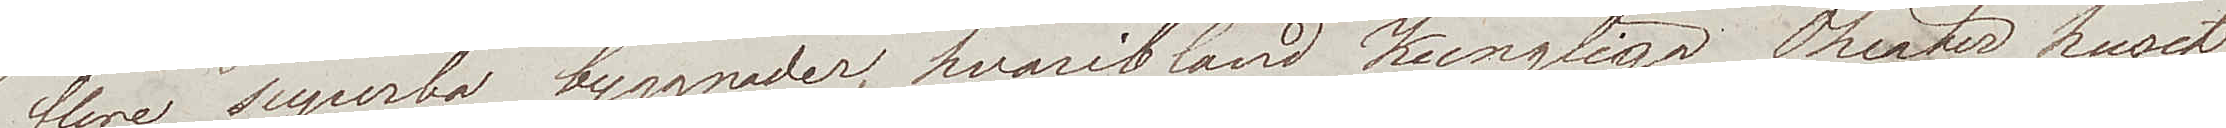flere superba byggnader, hvaribland Kungliga Theater huset
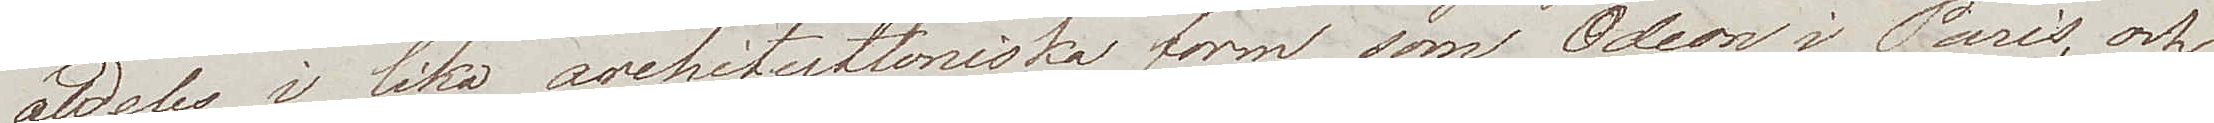aldeles i lika architecthoniska form som Odeon i Paris, och
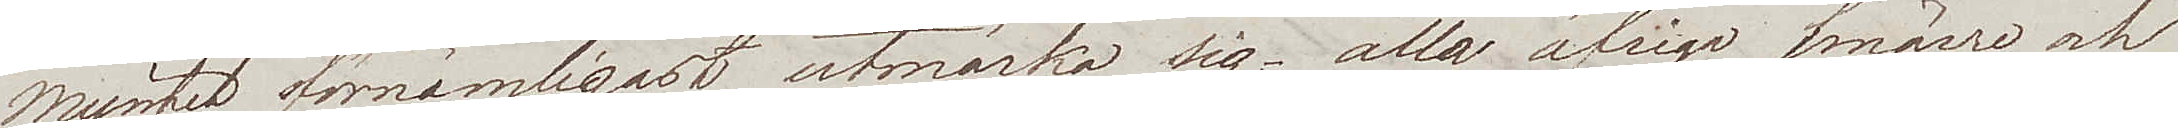Myntet förnämligast utmärka sig; alla öfriga smärre och
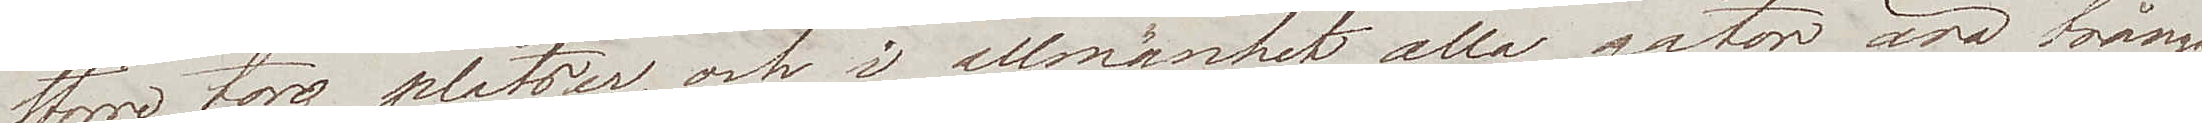större torg platser, och i allmänhet alla gator äro trånga
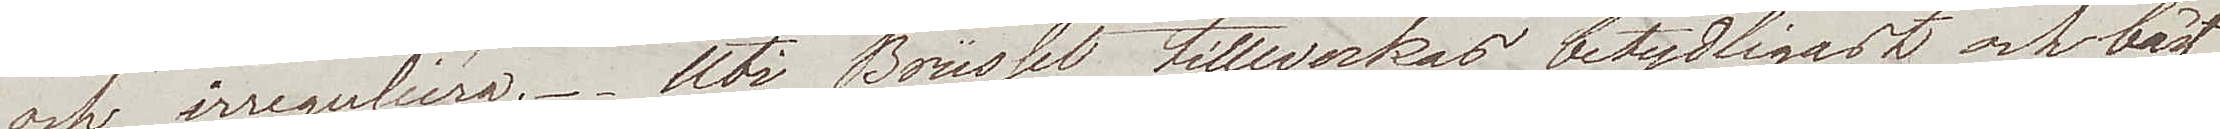och irreguliéra. Uti Brüssel tillverkas betydligast och bäst
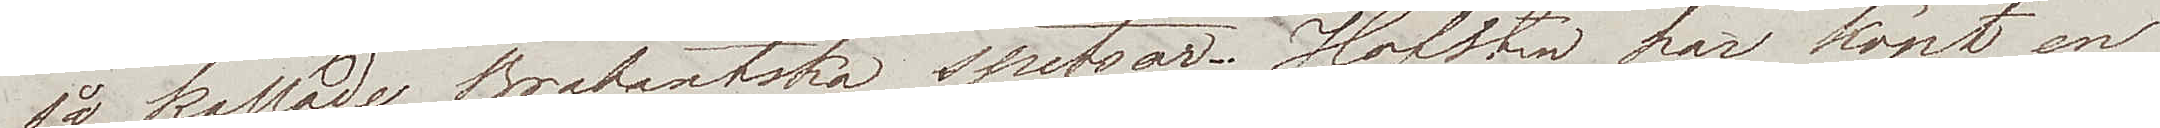så kallade Brabantska spetsar. Hofsten har köpt en
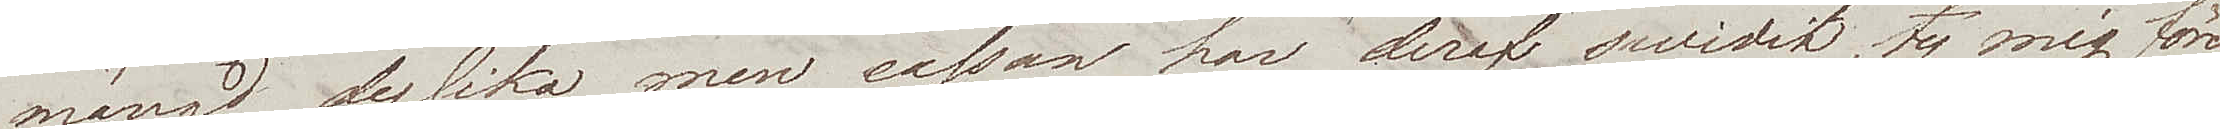mängd dylika, men cassan har deraf swidit, ty mig före¬
